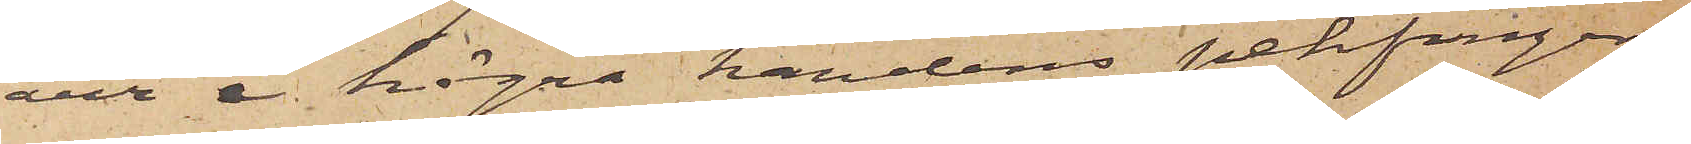ärr å högra handens pekfinger;
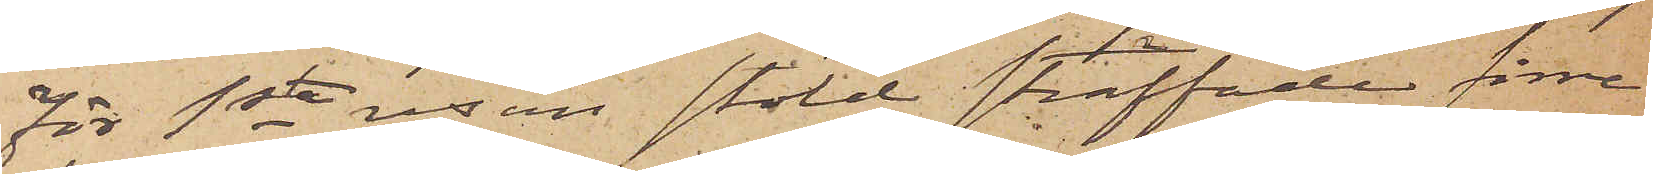För 1sta resan stöld straffades förre
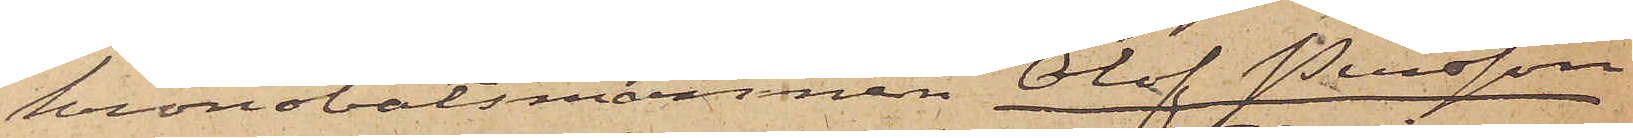kronobåtsmannen Olof Persson
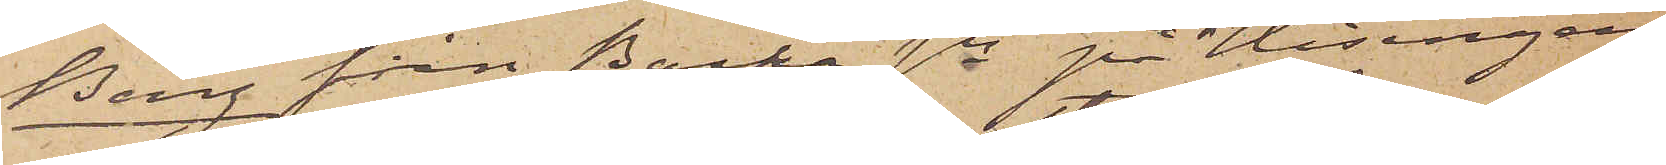Berg från Backa sn på Hisingen
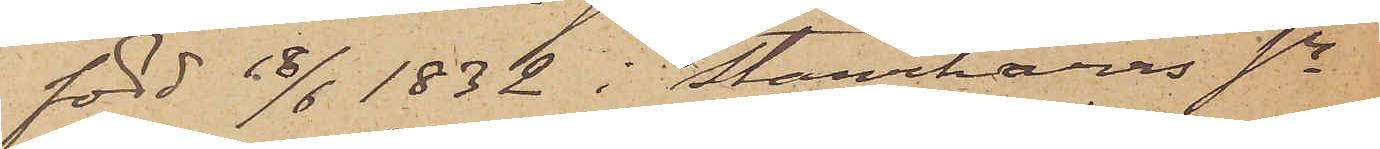född 18/6 1832 i Starrkärrs sn
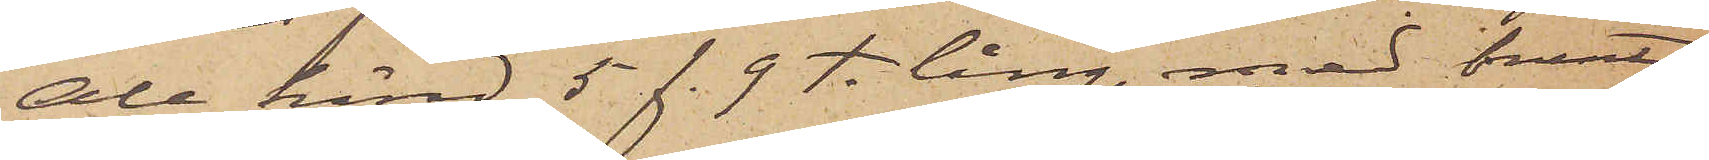Ale härad, 5 f. 9 t. lång, med svart
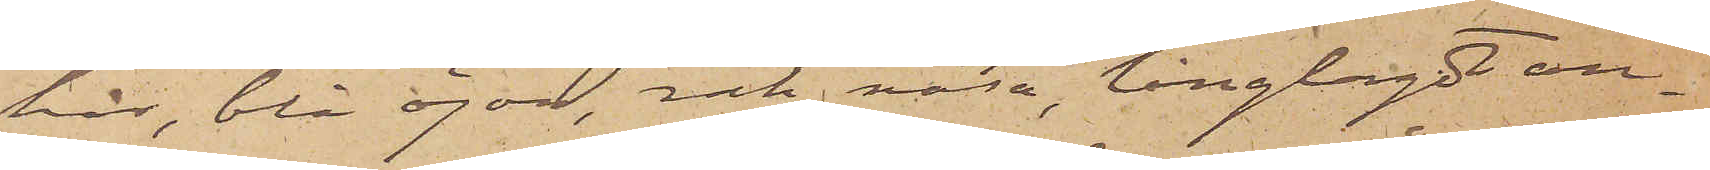hår, blå ögon, rak näsa, långlagdt an¬
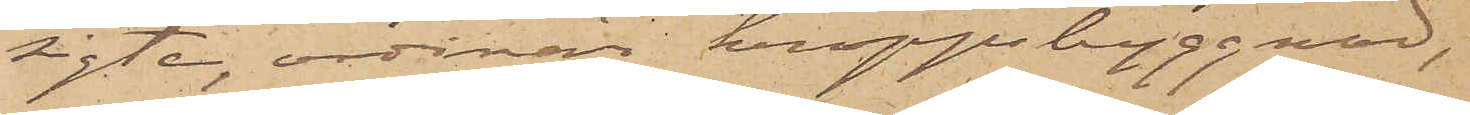sigte, ordinär kroppsbyggnad,
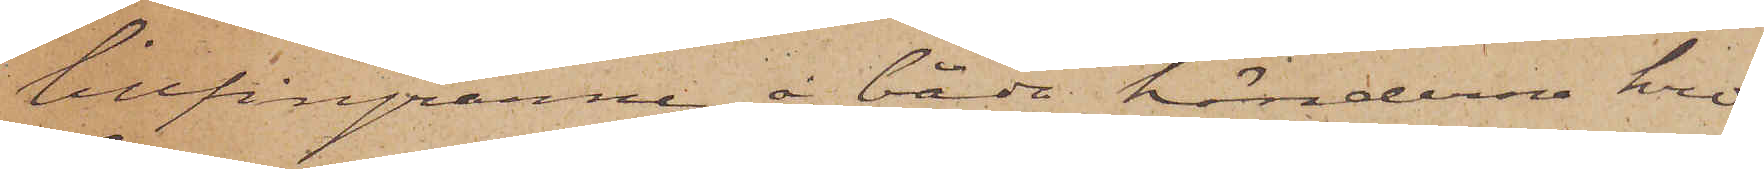lillfingrarne å båda händerne kro¬
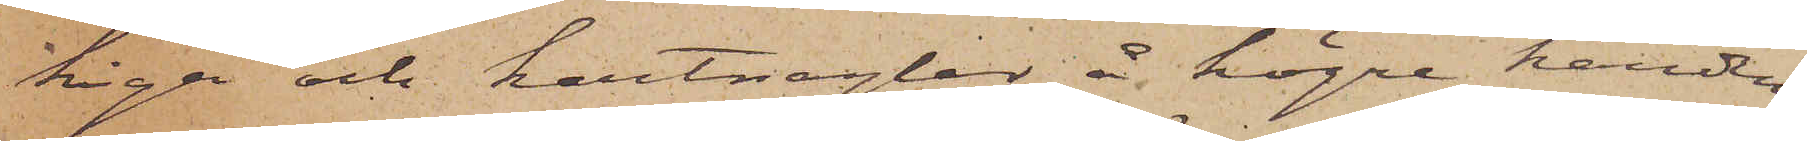kiga och kartnaglar å högra handen;
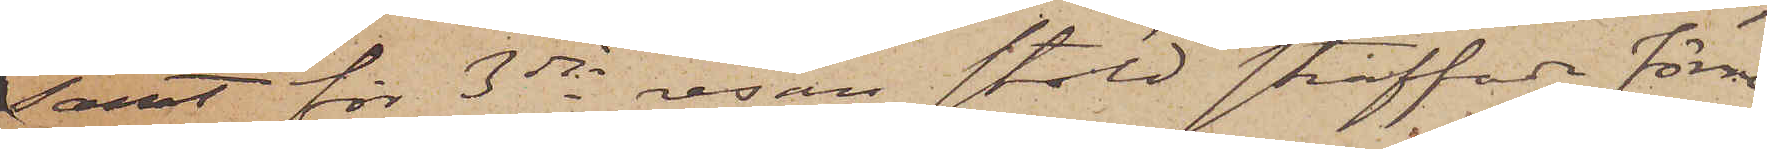samt för 3dje resan stöld straffade förre
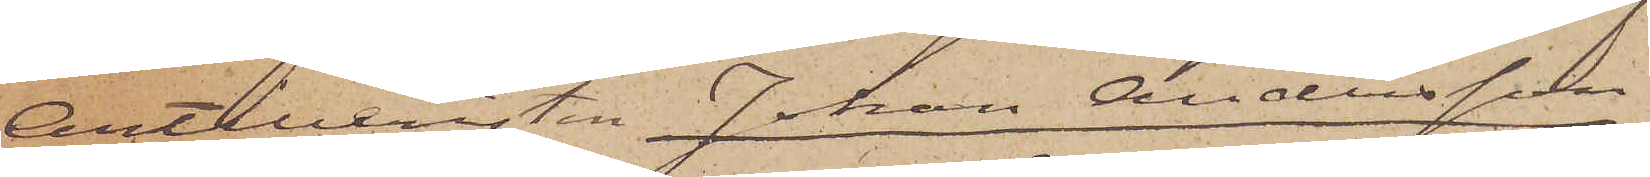Artilleristen Johan Andersson
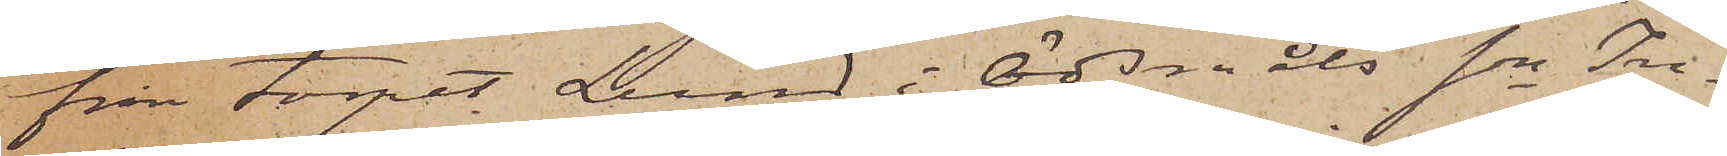från torpet Lund i Ödsmåls sn In¬
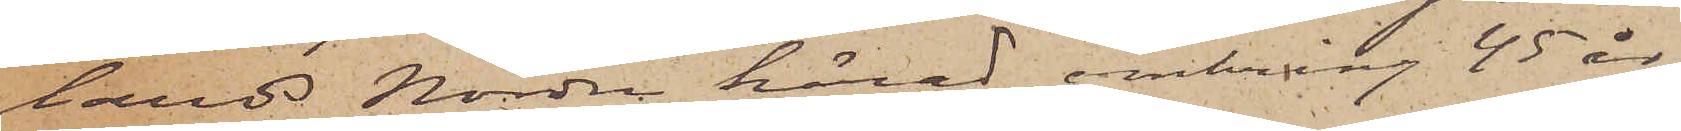lands Nordre härad, omkring 45 år
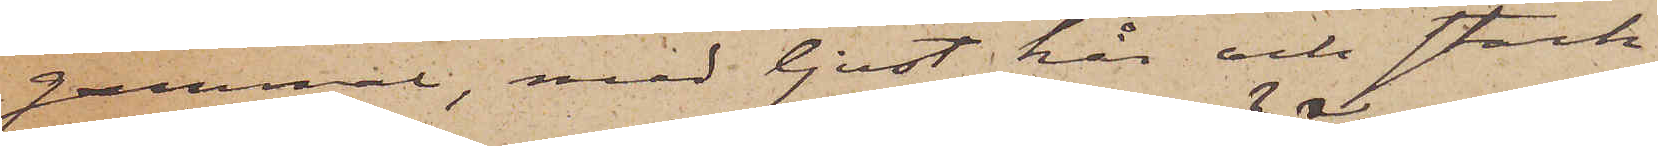gammal, med ljust hår och stark
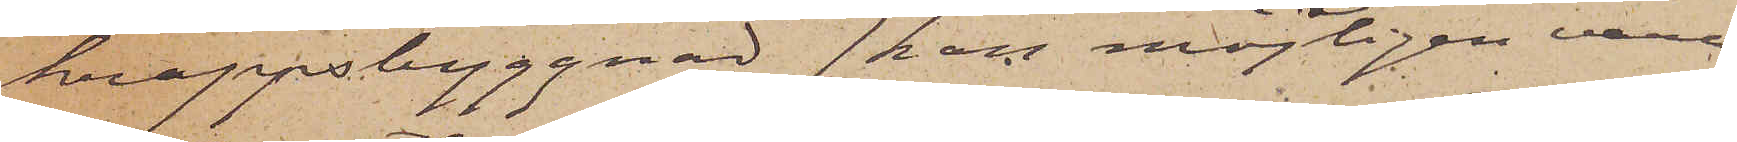kroppsbyggnad (kan möjligen vara
